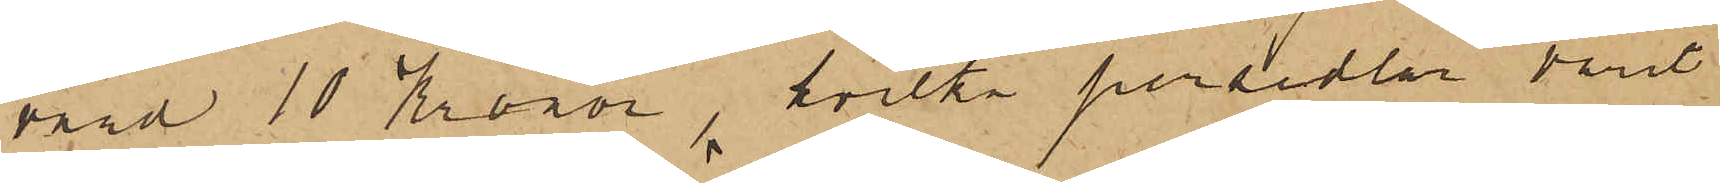värd 10 Kronor, hvilka persedlar varit
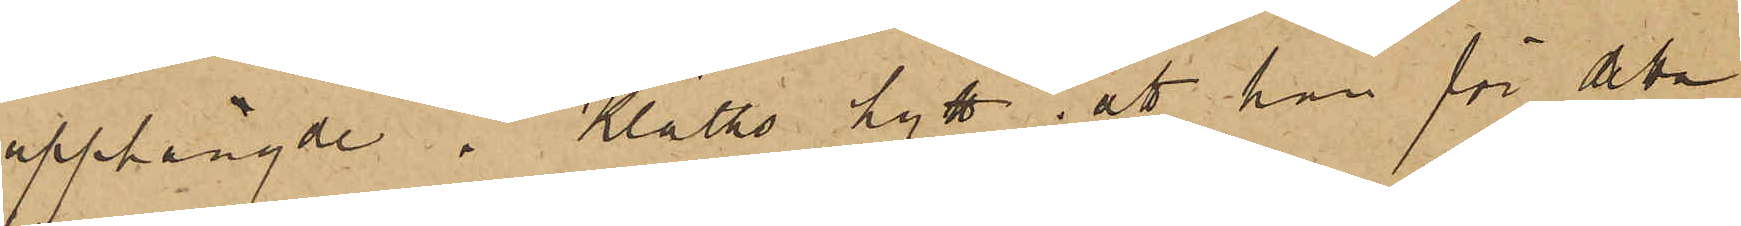upphängde i Kläths hytt, att han för detta
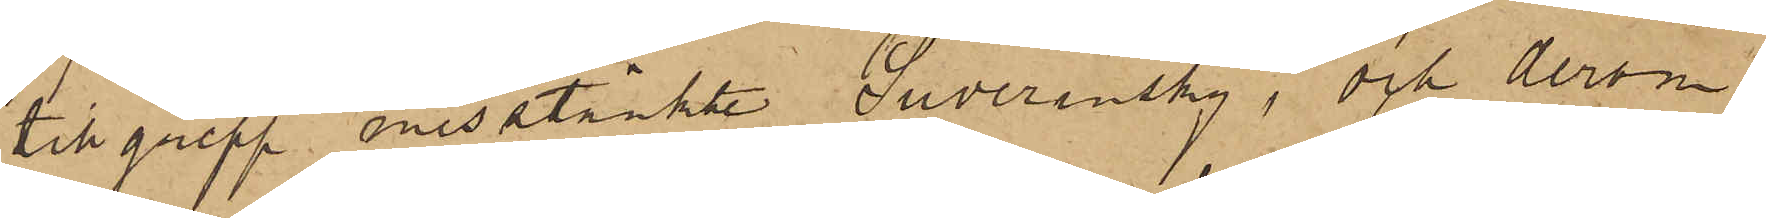tillgrepp misstänkte Suverinsky, och derom
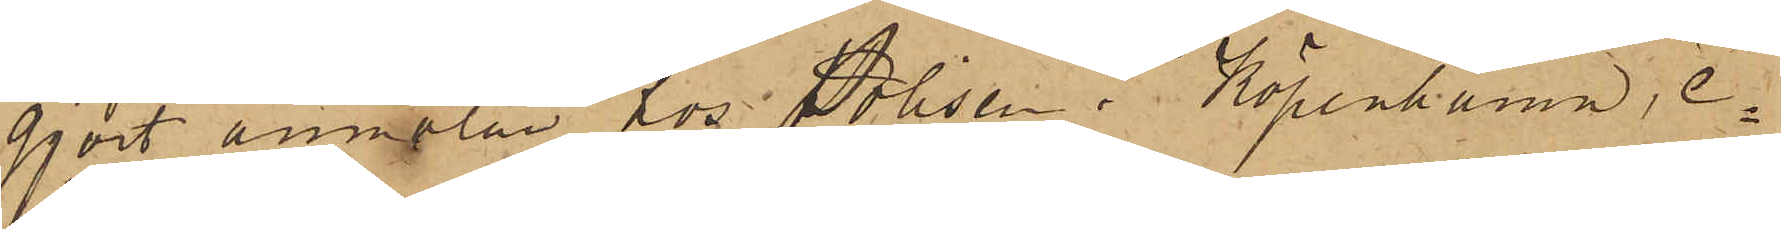gjort anmälan hos Polisen i Köpenhamn, e¬
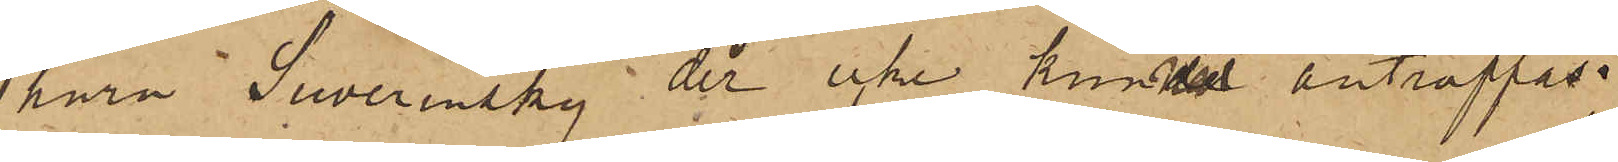huru Suverinsky der icke kunde anträffas;
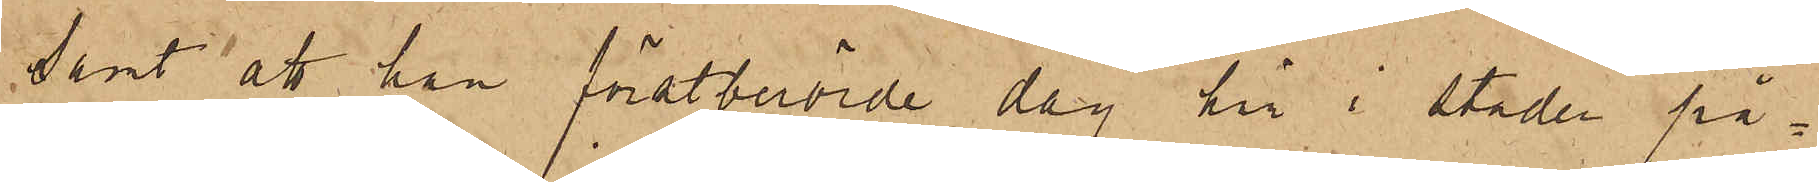samt att han förstberörde dag här i staden på¬
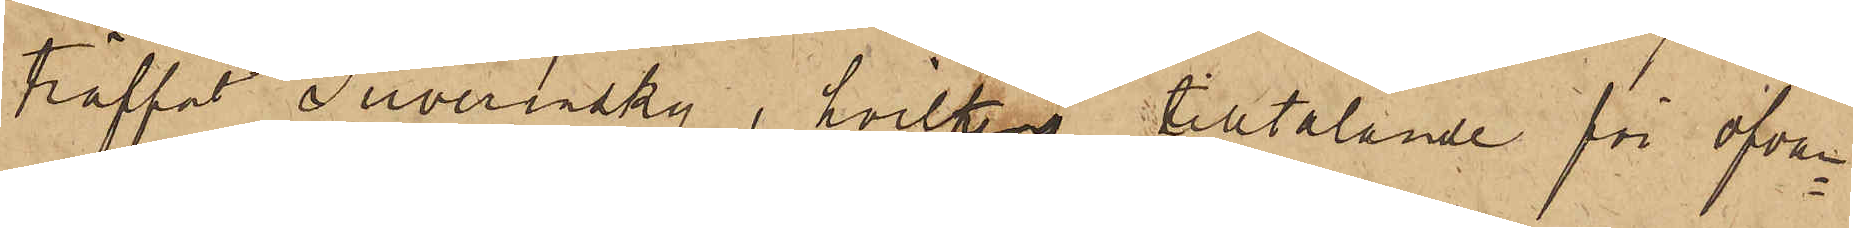träffat Suverinsky, hvilkens tilltalande för ofvan¬
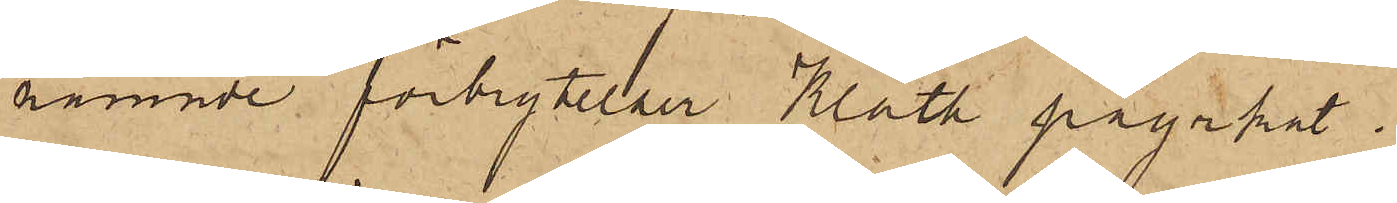nämnde förbrytelser Kläth påyrkat.
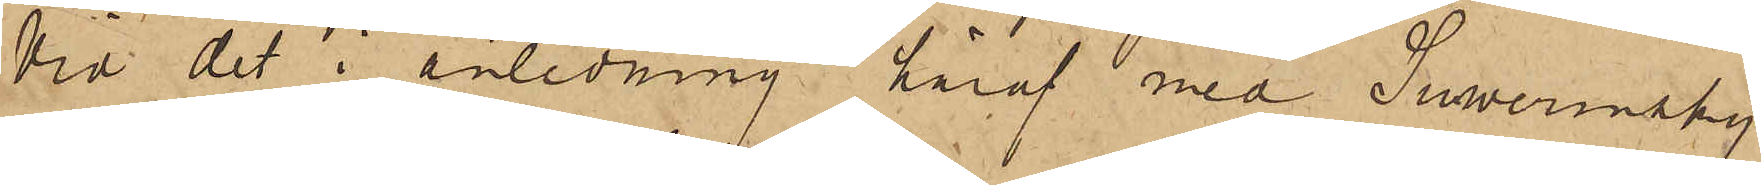Vid det i anledning häraf med Suwerinsky
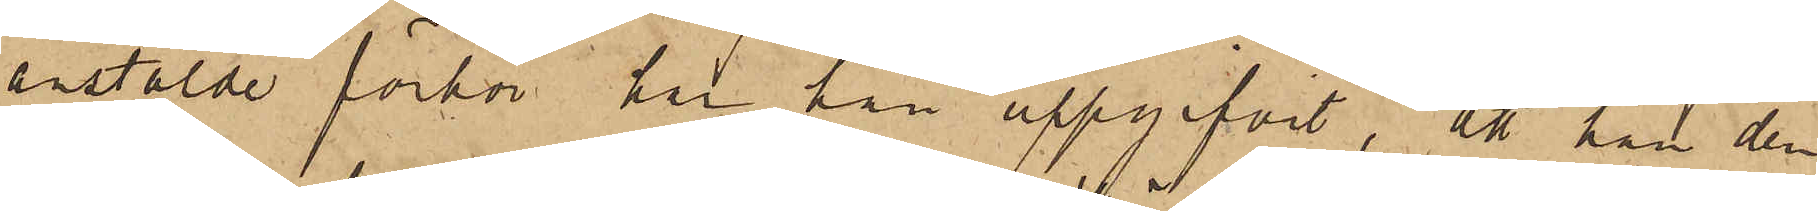anstälde förhör här han uppgifvit, att han den
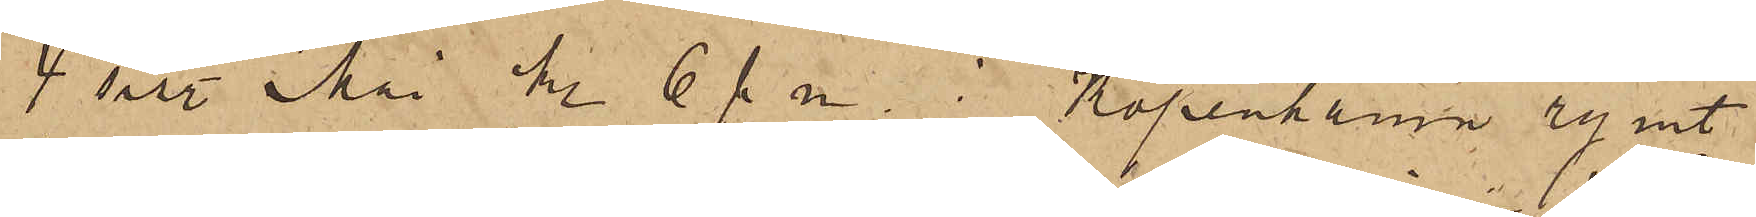4 sist. Mai kl 6 f. m. i Köpenhamn rymt
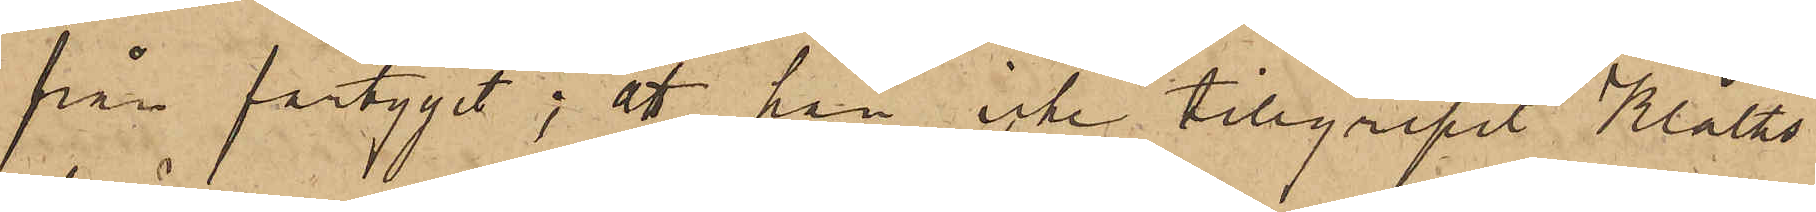från fartyget; att han icke tillgripit Kläths
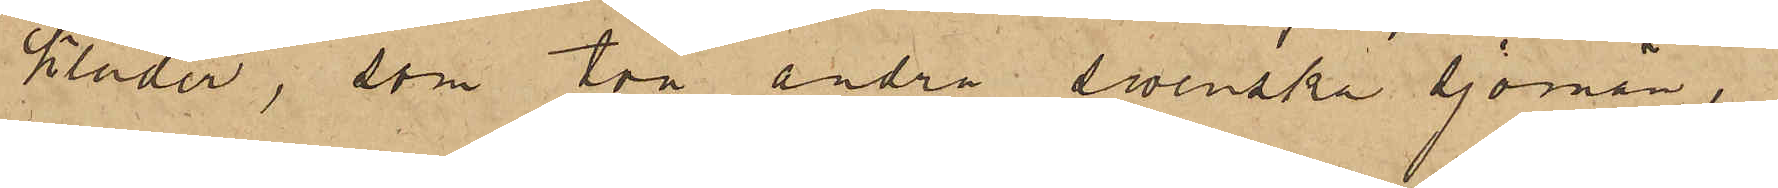kläder, som två andra svenska sjömän,
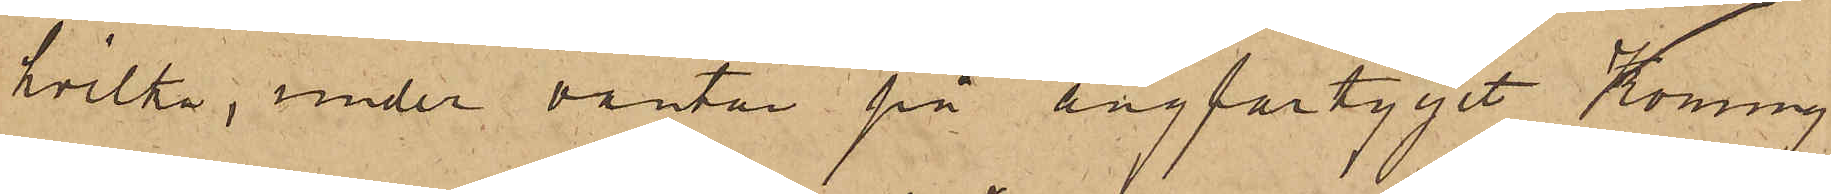hvilka, under väntan på ångfartyget Konung
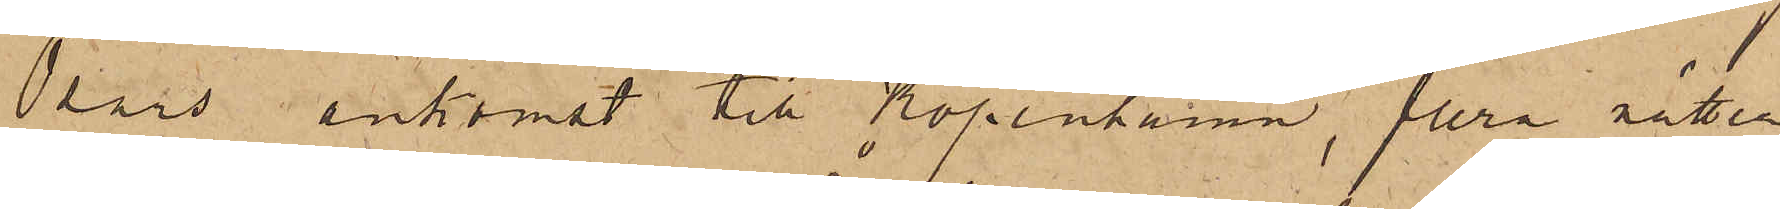Oscars ankomst till Köpenhamn, flera nätter
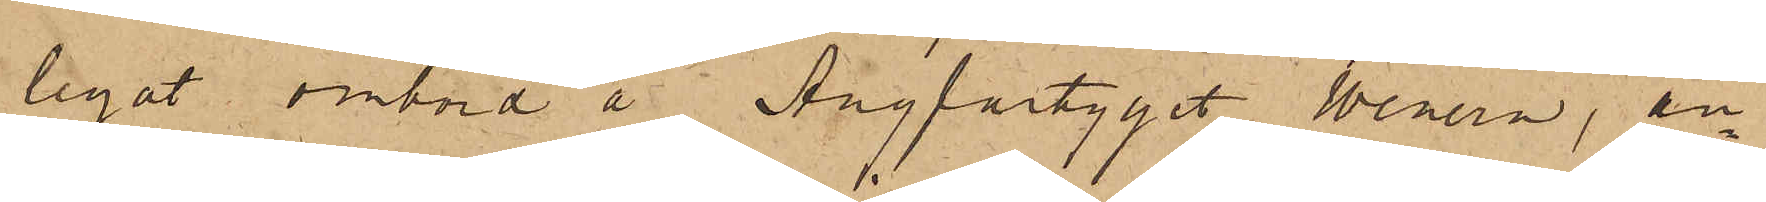legat ombord å Ångfartyget Wenern, an¬
